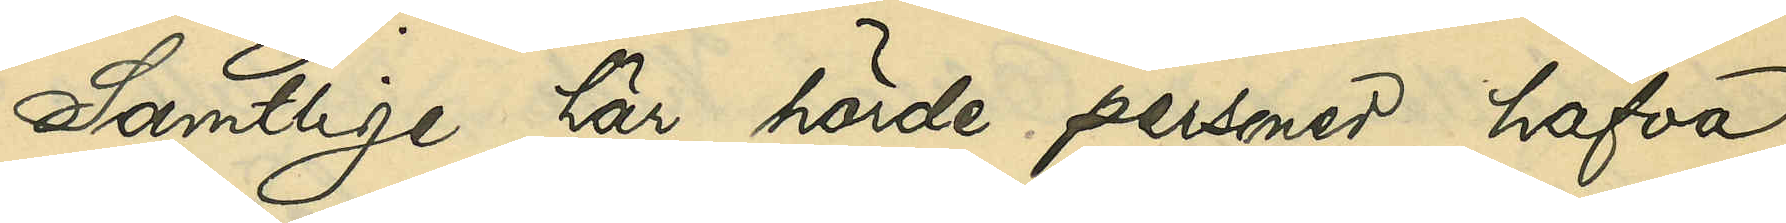Samtlige här hörde personer hafva
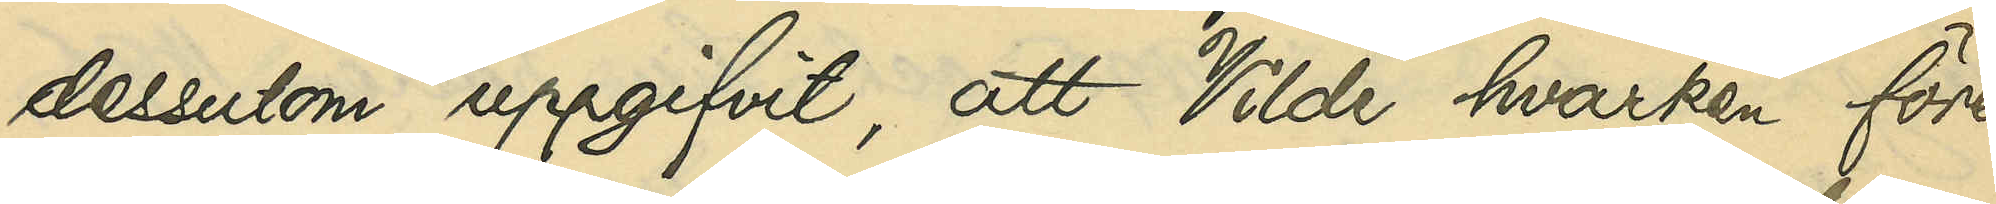dessutom uppgifvit, att Vilde hvarken före
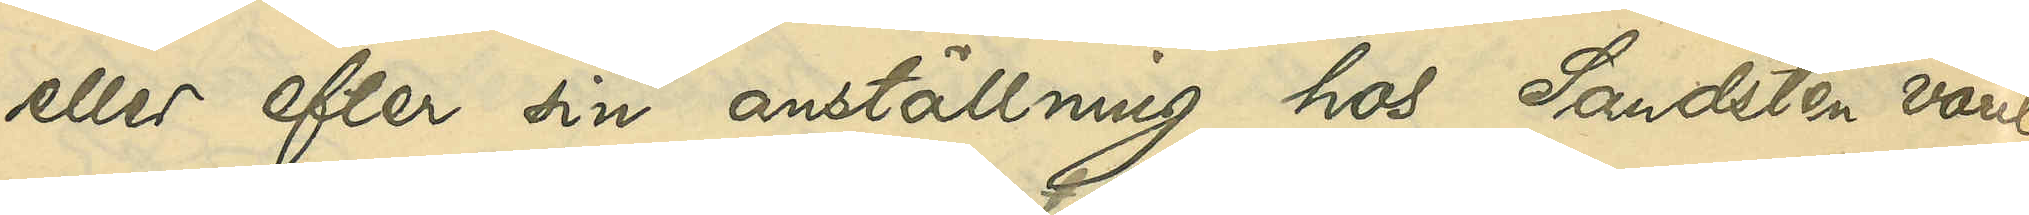eller efter sin anställning hos Sandsten varit
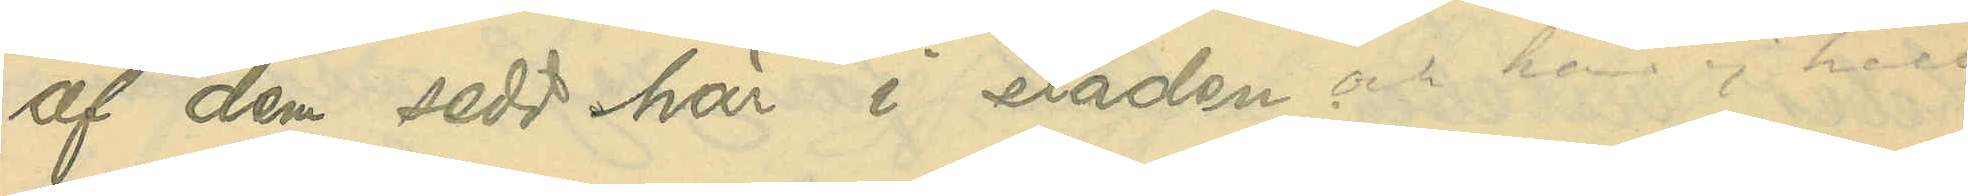af dem sedd här i staden och har ej heller
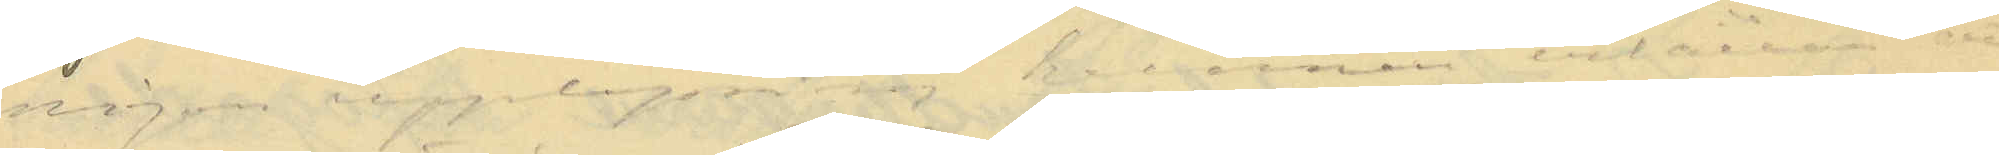någon upplysning kunnat erhållas att han
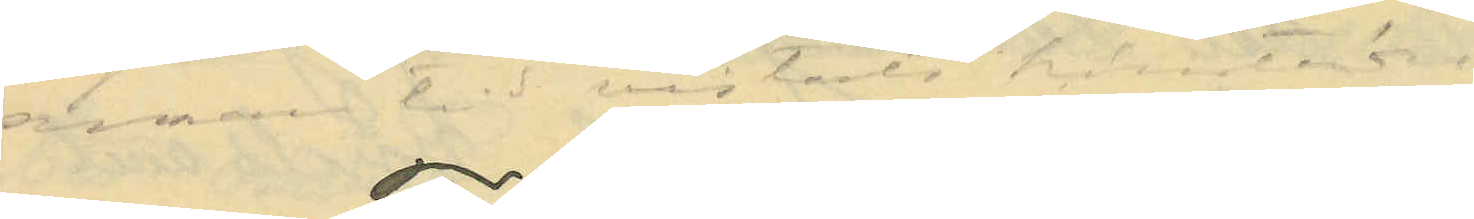annan tid vistats härstädes.
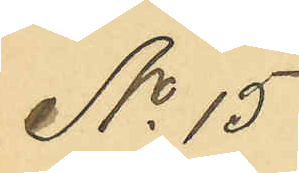No 15
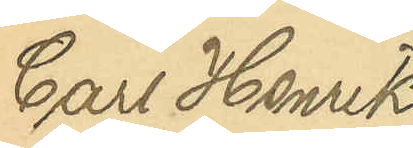Carl Henrik
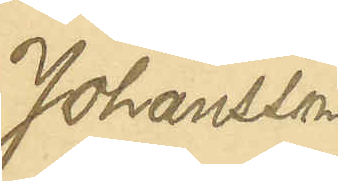Johansson
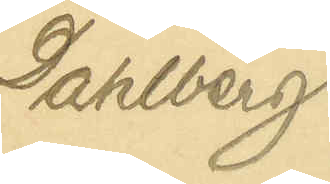Dahlberg
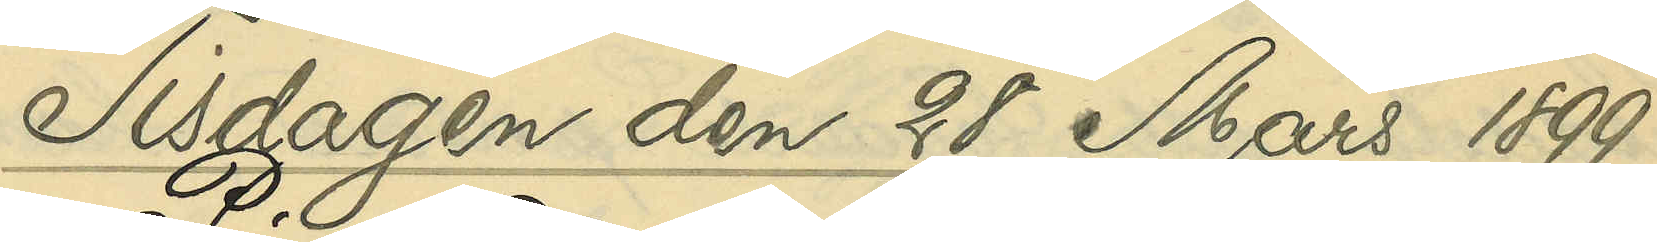Tisdagen den 28 Mars 1899
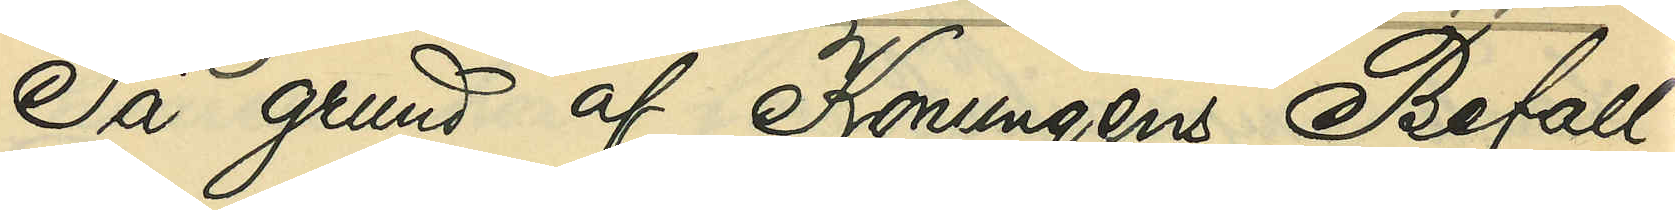På grund af Konungens Befall¬
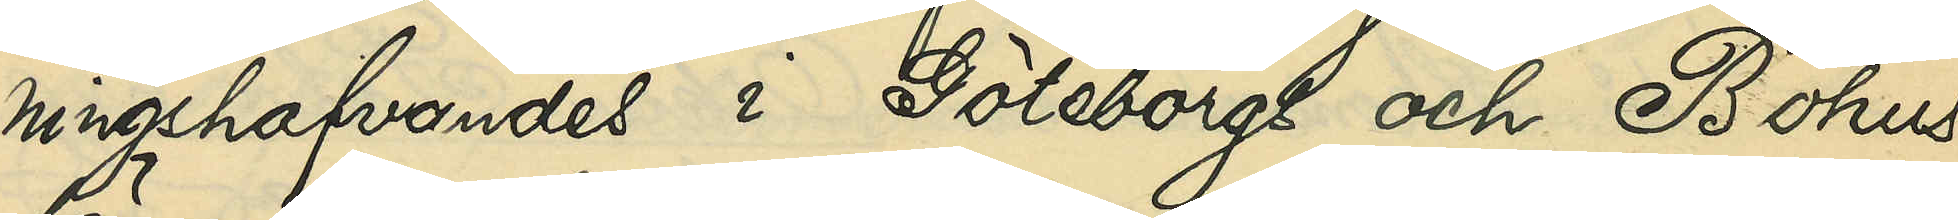ningshafvandes i Göteborgs och Bohus
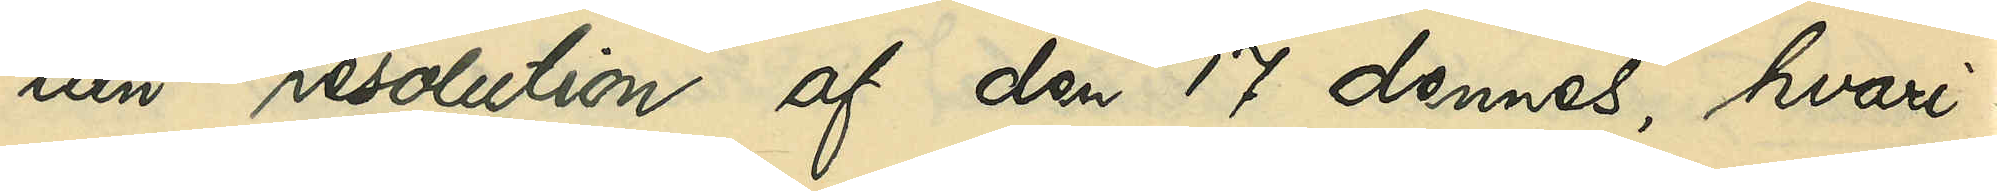län resolution af den 17 dennes, hvari¬
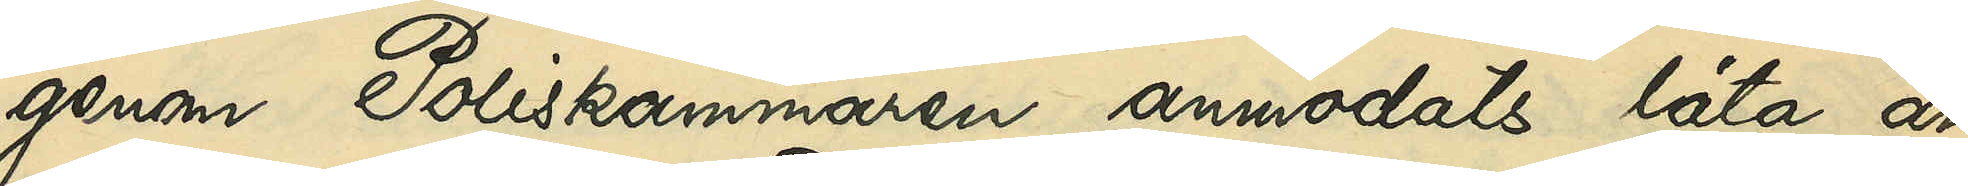genom Poliskammaren anmodats låta an¬
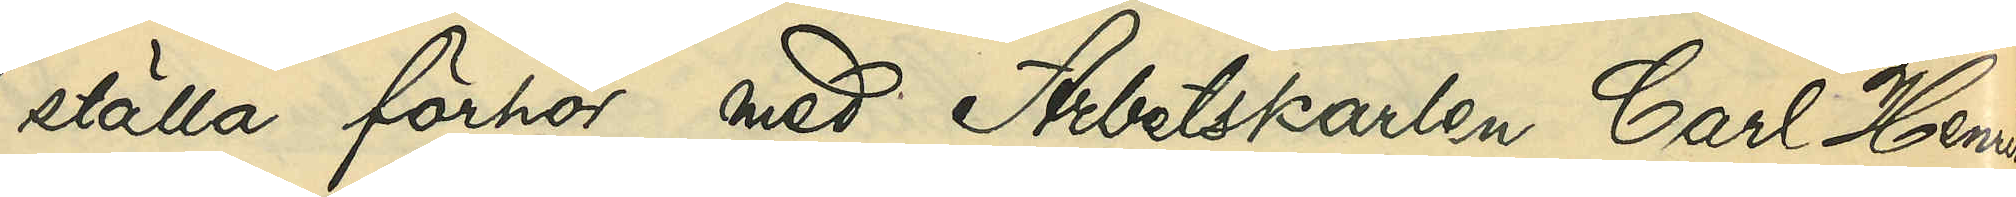ställa förhör med Arbetskarlen Carl Henrik
